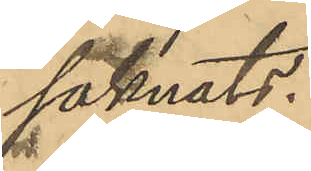saknats.
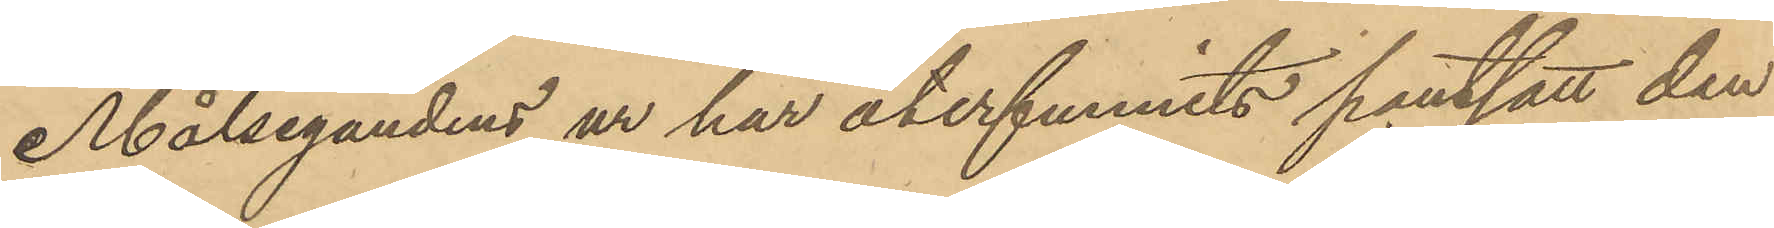Målsegandens ur har återfunnits pantsatt den
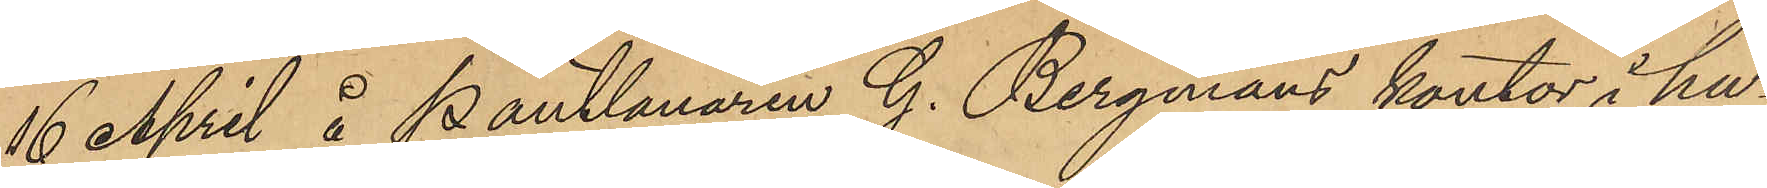16 April å Pantlånaren G. Bergmans kontor i hu¬
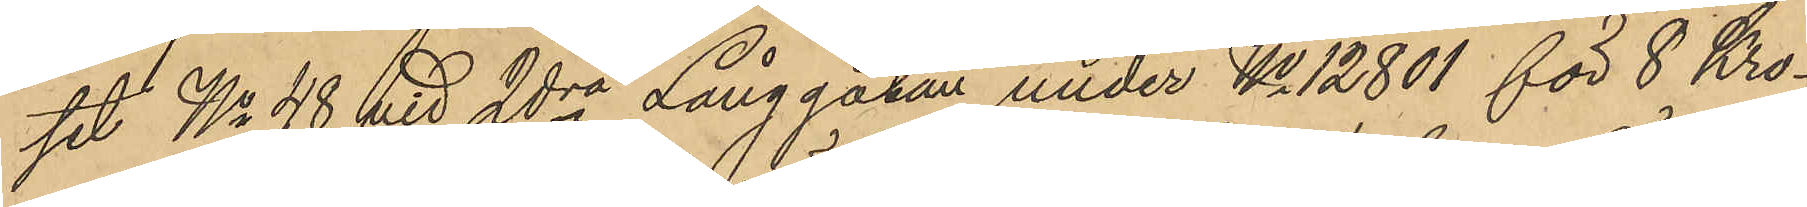set No 48 vid 2dra Långgatan under No 12801 för 8 Kro¬
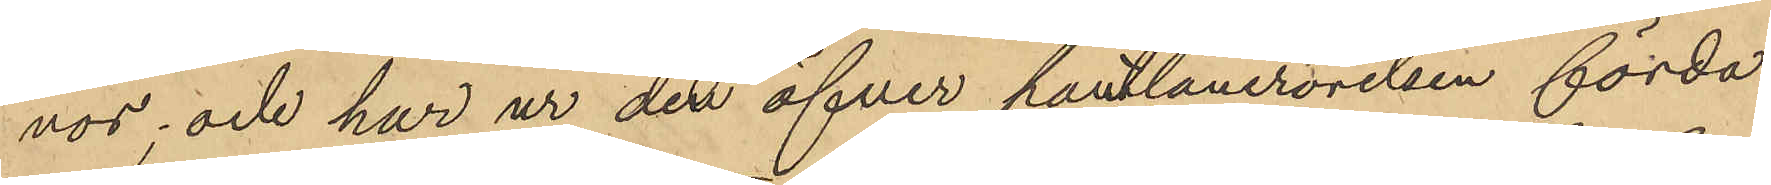nor; och har ur den öfver pantlånerörelsen förda
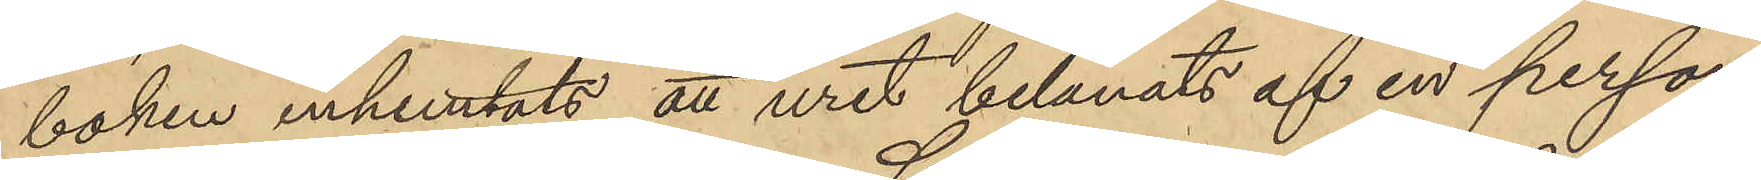boken inhemtats att uret belånats af en person
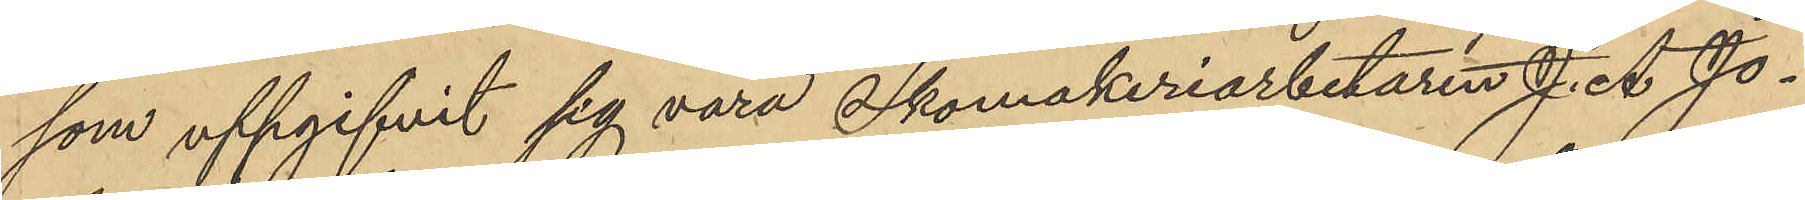som uppgifvit sig vara Skomakeriarbetaren J. A. Jo¬
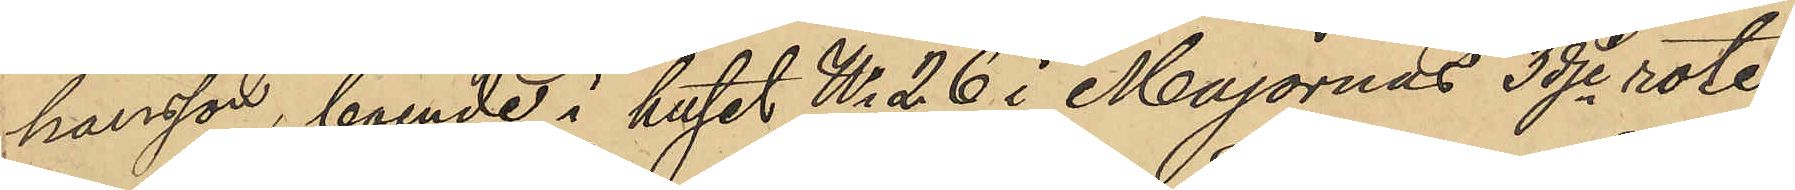hansson, boende i huset No 26 i Majornas 3dje rote.
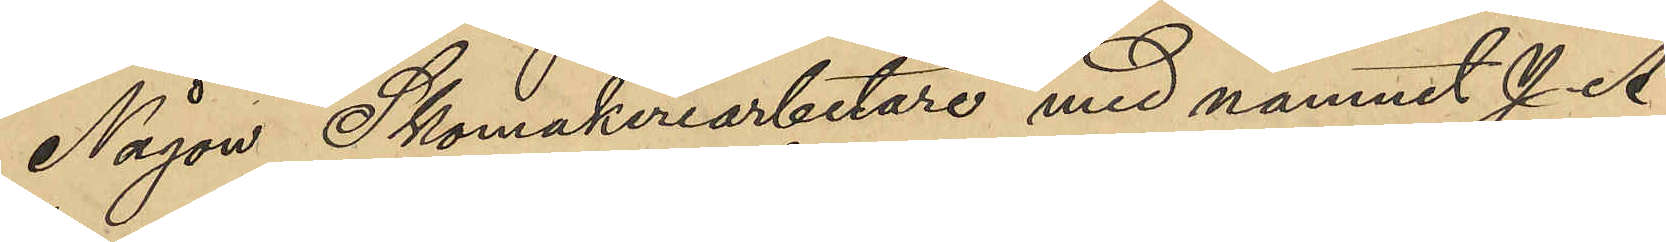Någon Skomakeriarbetare med namnet J. A
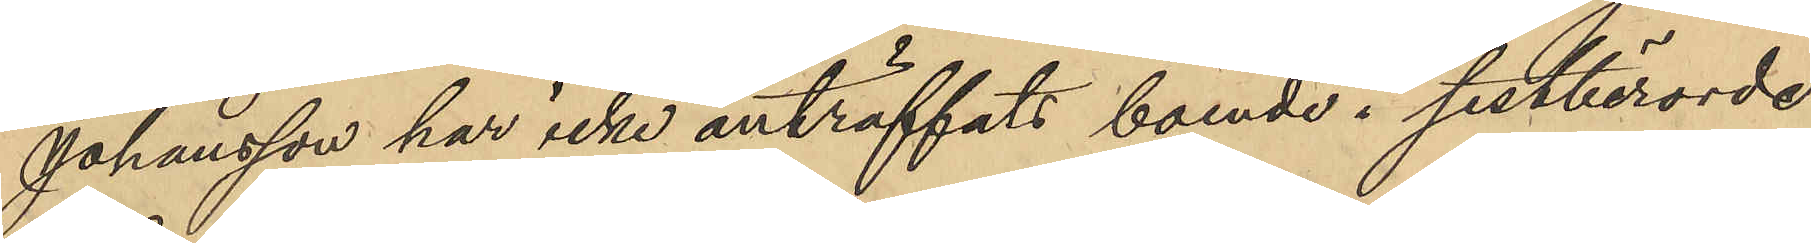Johansson har icke anträffats boende i sistberörde
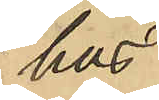hus.
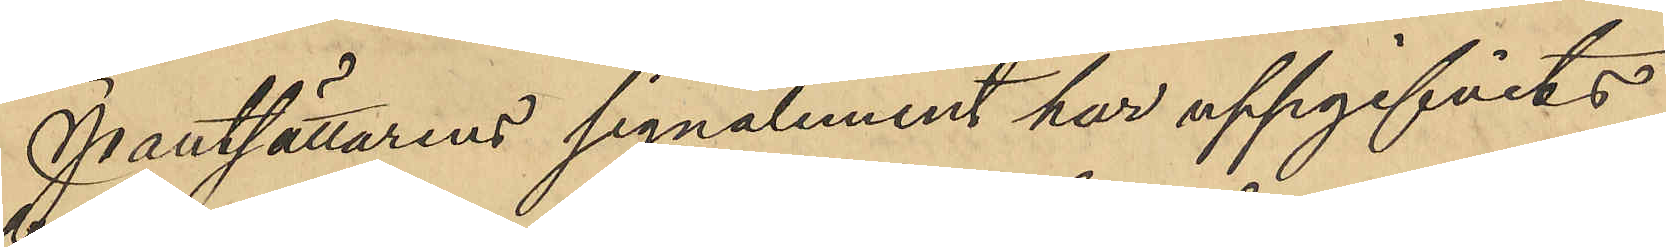Pantsättarens signalement har uppgifvits
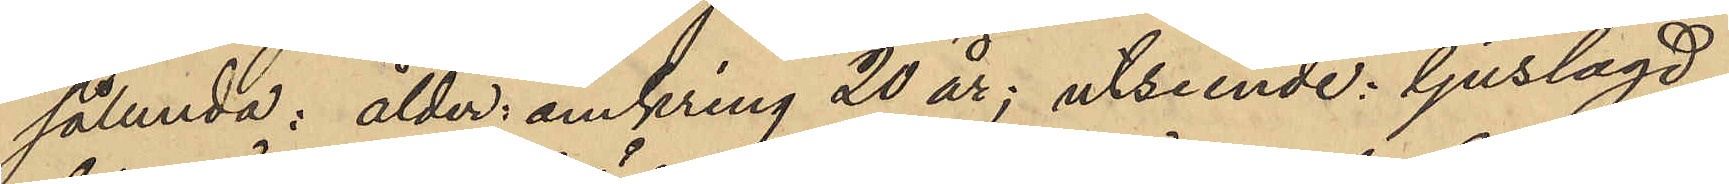sålunda: ålder, omkring 20 år; utseende: ljuslagd,
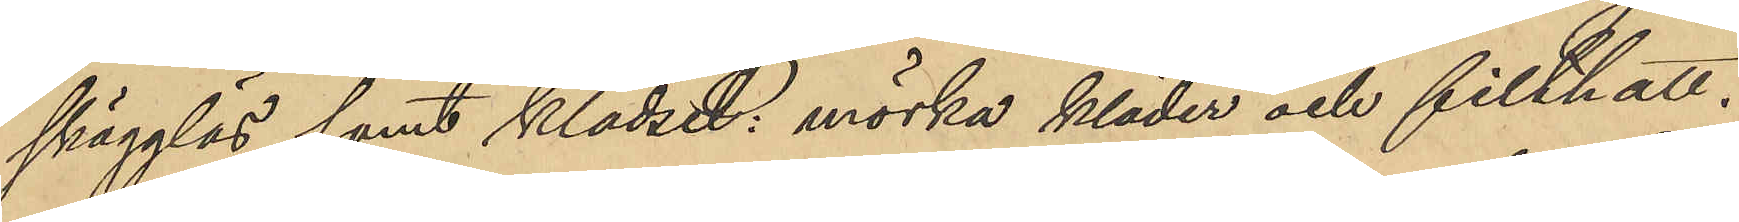skägglös samt klädsel: mörka kläder och filthatt.
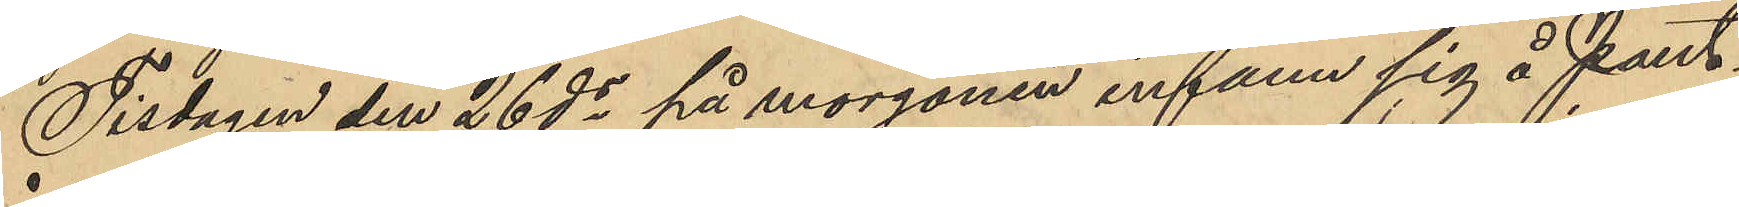Tisdagen den 26 ds på morgonen infann sig å Pant¬
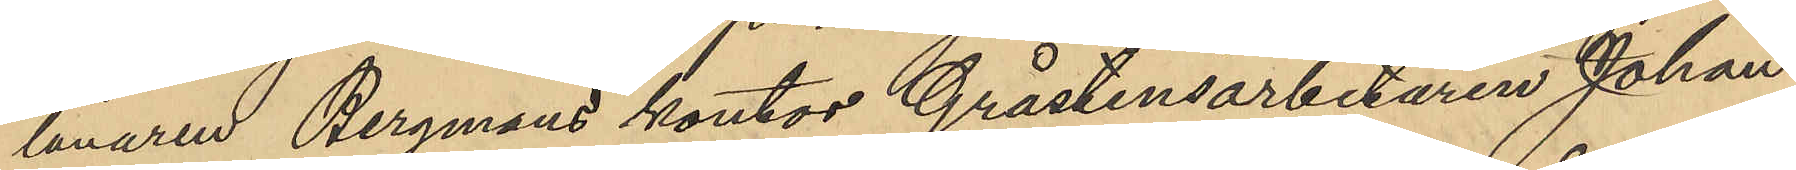lånaren Bergmans kontor Gråstensarbetaren Johan
